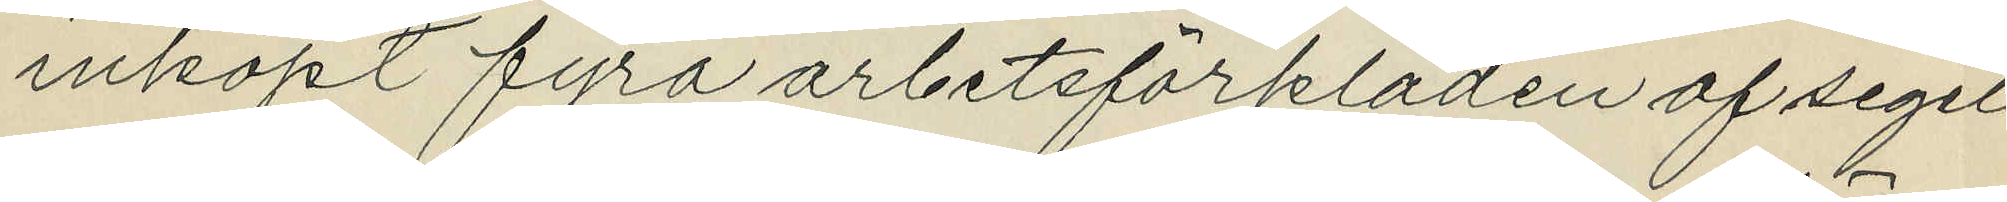inköpt fyra arbetsförkläden af segel¬
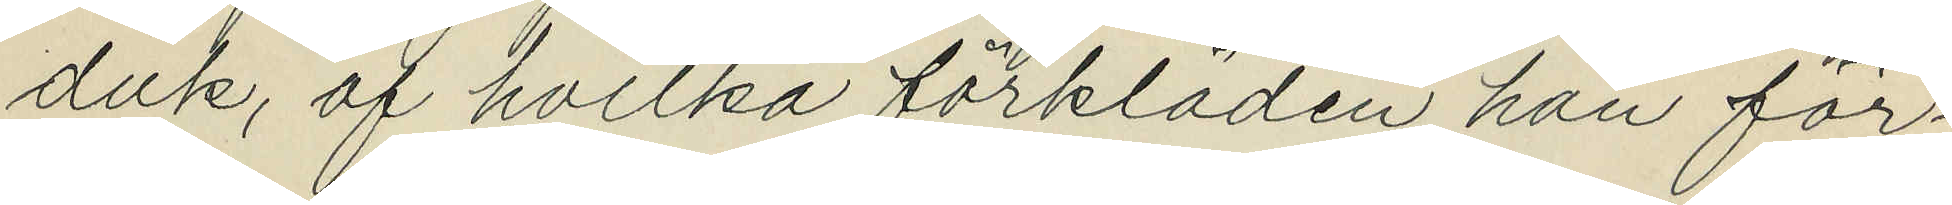duk, af hvilka förkläden han för¬
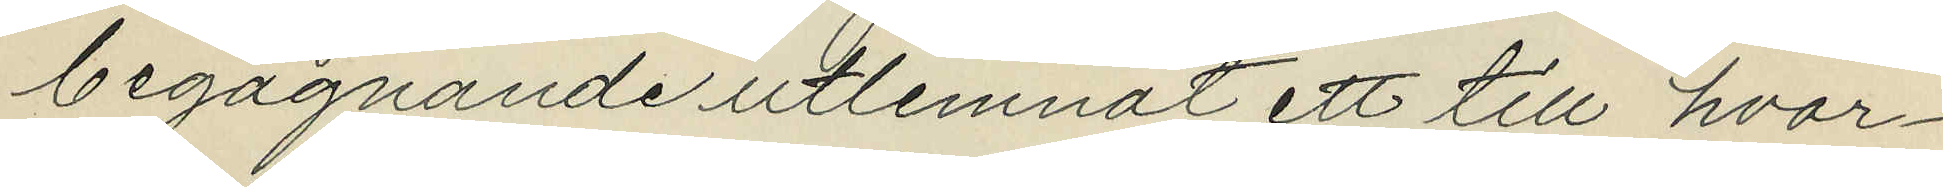begagnande utlemnat ett till hvar¬
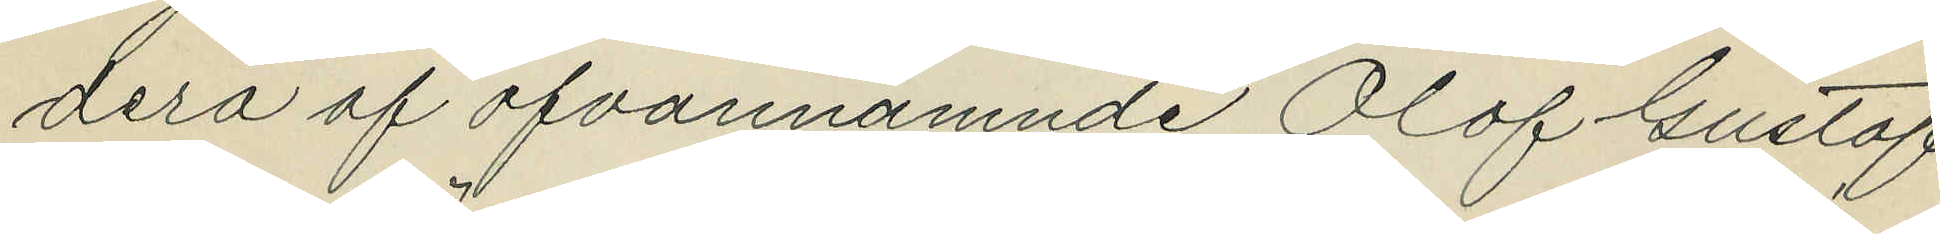dera af ofvannämnde Olof Gustaf
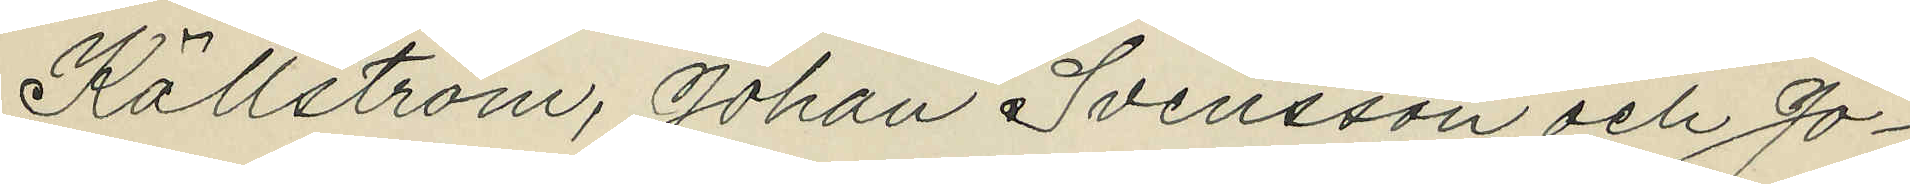Källström, Johan Svensson och Jo¬
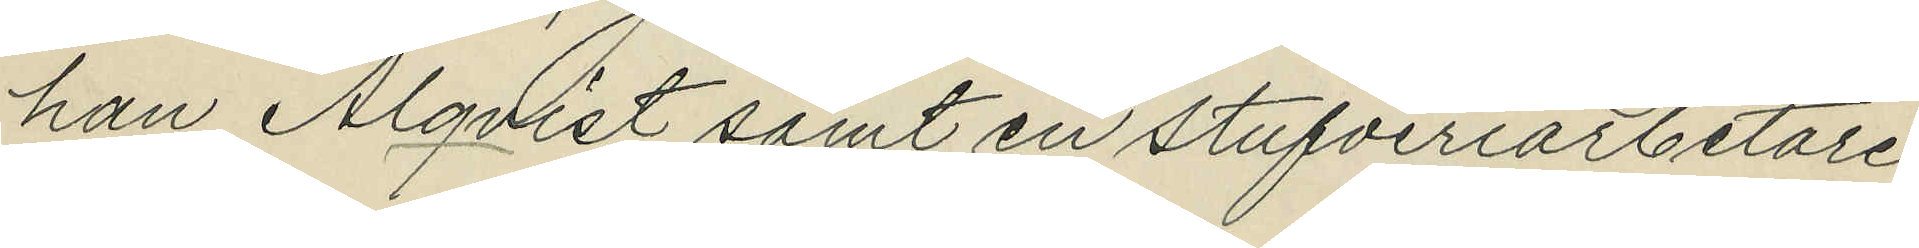han Alqvist samt en stufveriarbetare
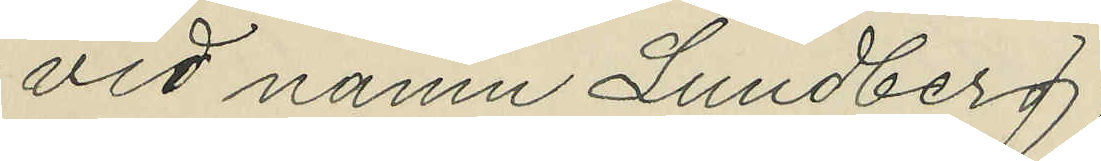vid namn Lundberg;
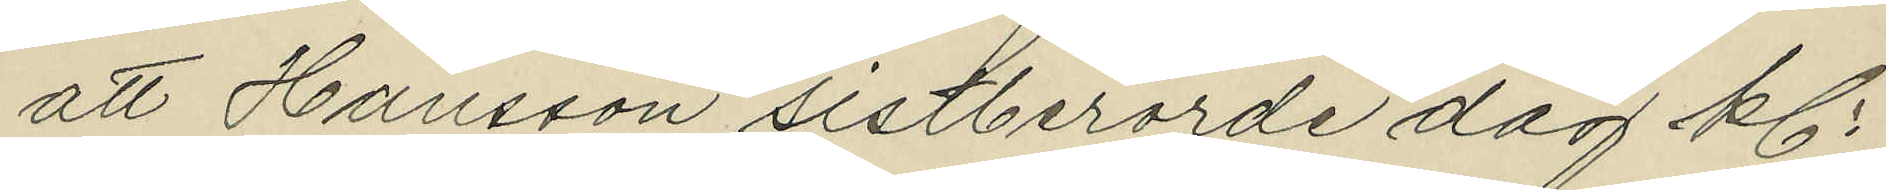att Hansson sistberörde dag kl.
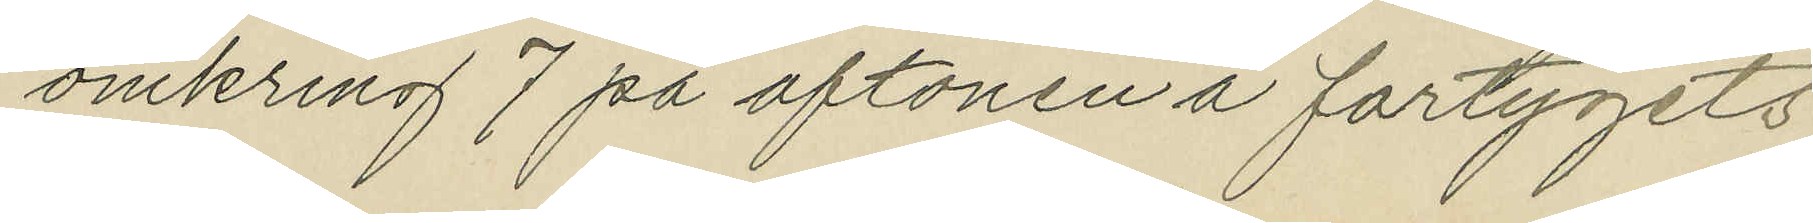omkring 7 på aftonen å fartygets
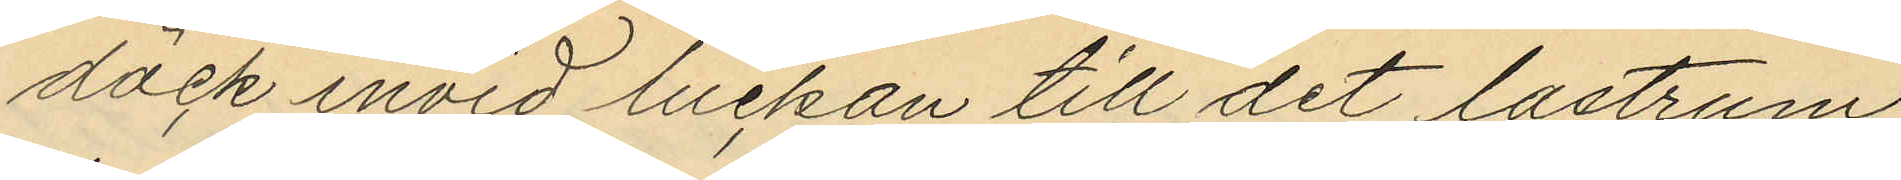däck invid luckan till det lastrum
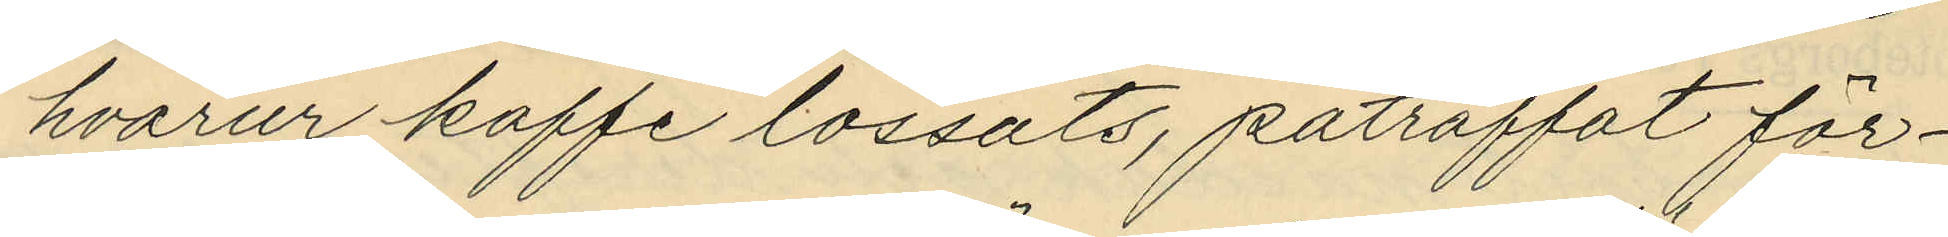hvarur kaffe lossats, påträffat för¬
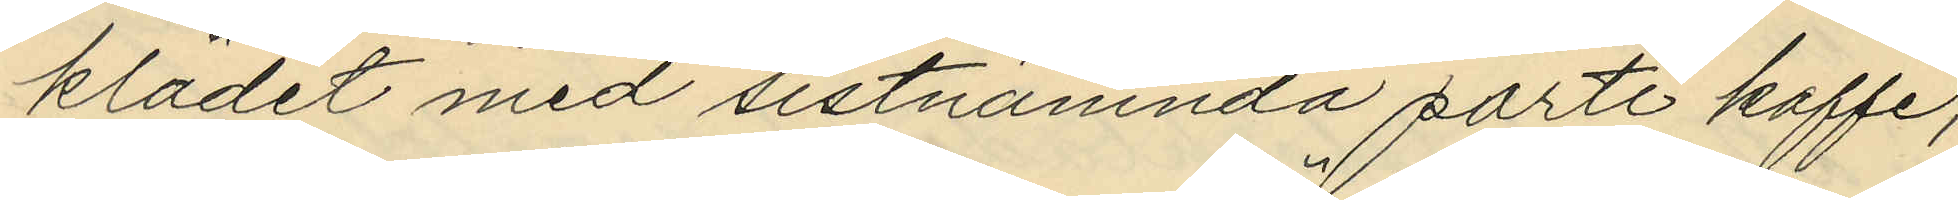klädet med sistnämnda parti kaffe;
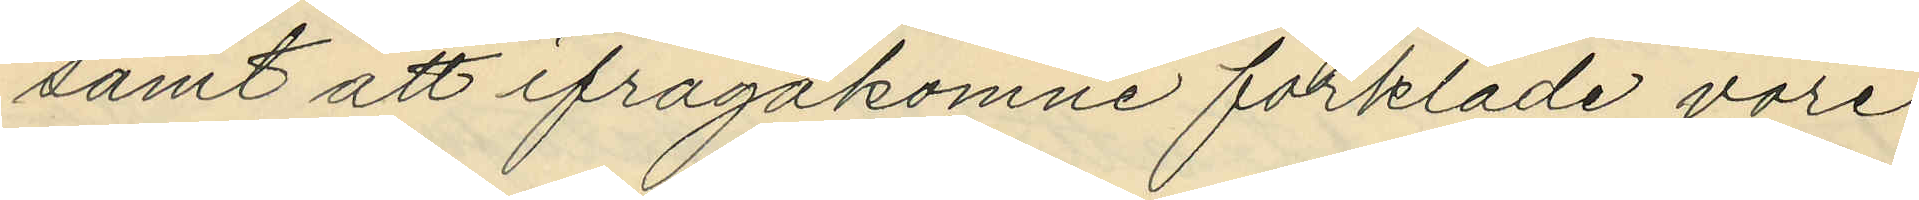samt att ifrågakomne förkläde vore
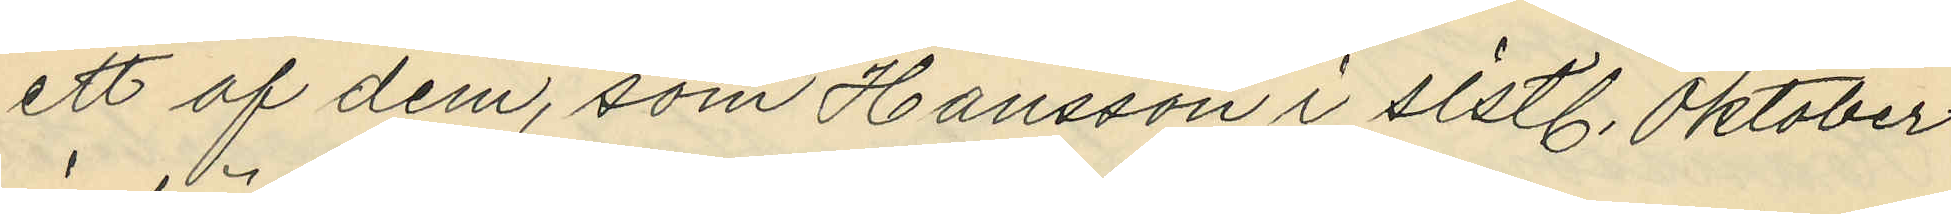ett af dem, som Hansson i sistl. Oktober
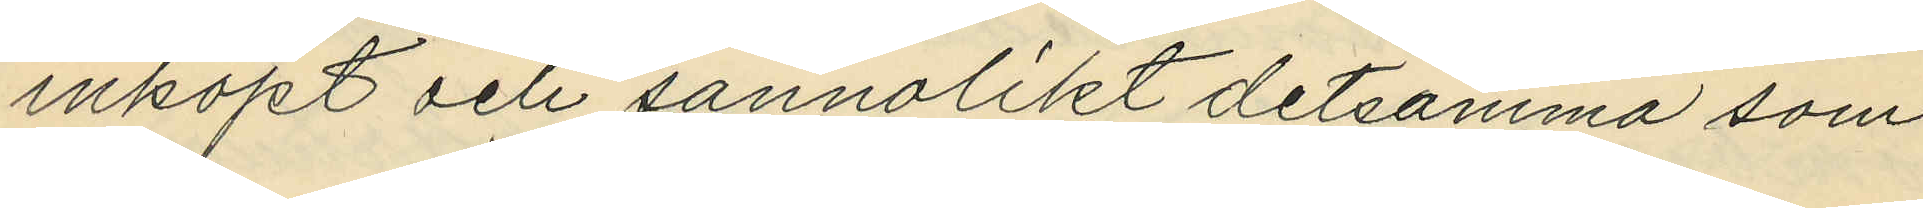inköpt och sannolikt detsamma som
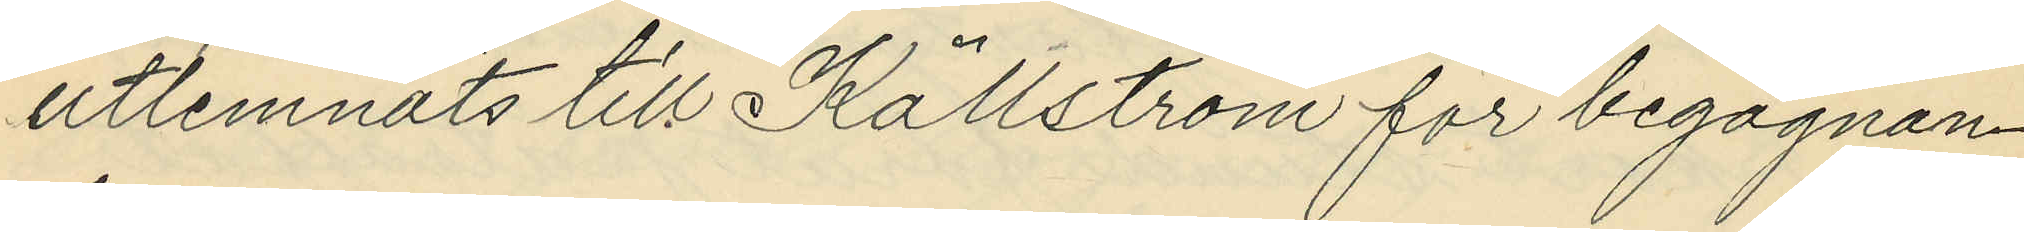utlemnats till Källström för begagnan¬
